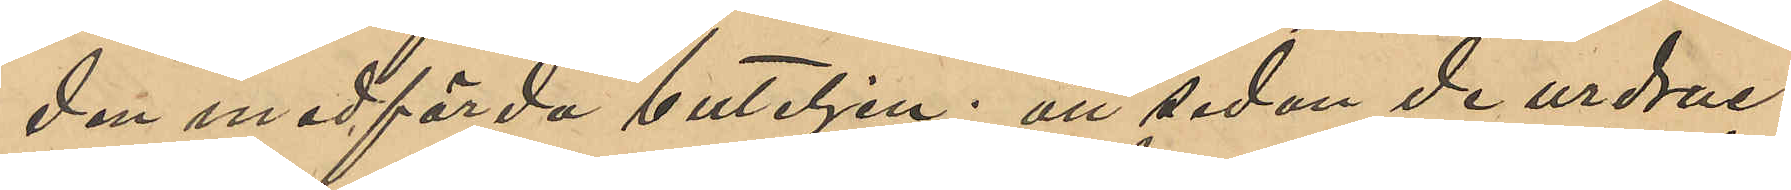den medförda buteljen; att sedan de urdruc¬
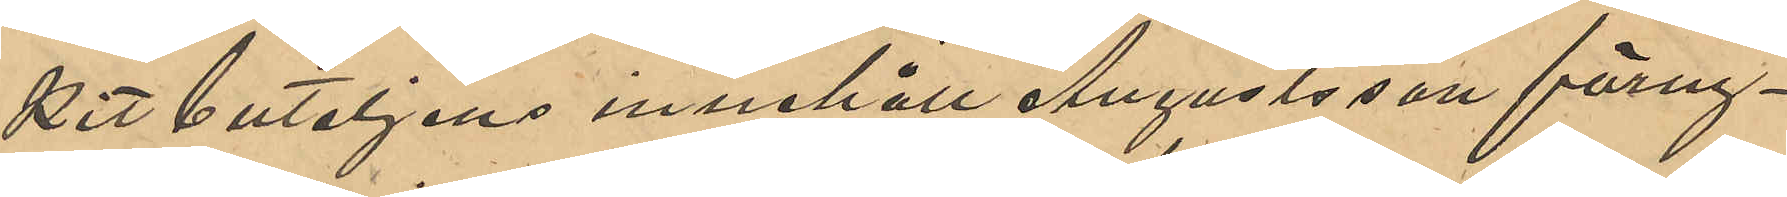kit buteljens innehåll Augustsson förny¬
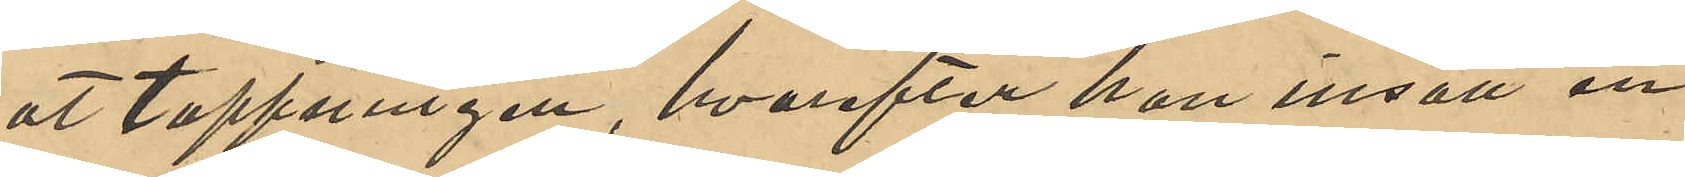at tappningen, hvarefter han insatt en
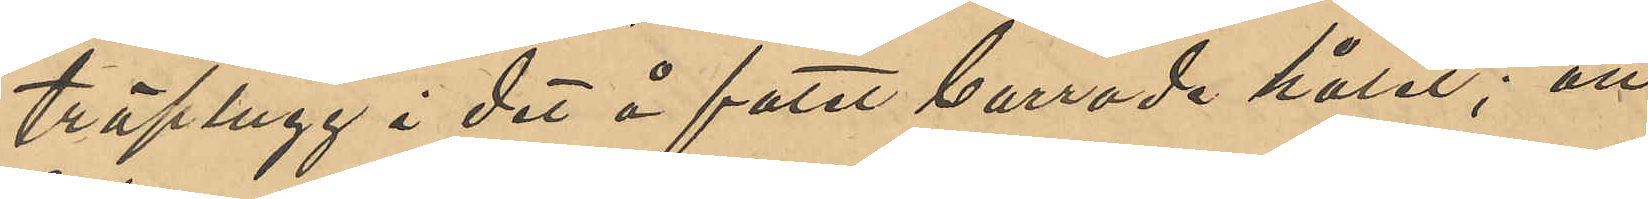träplugg i det å fatet borrade hålet; att
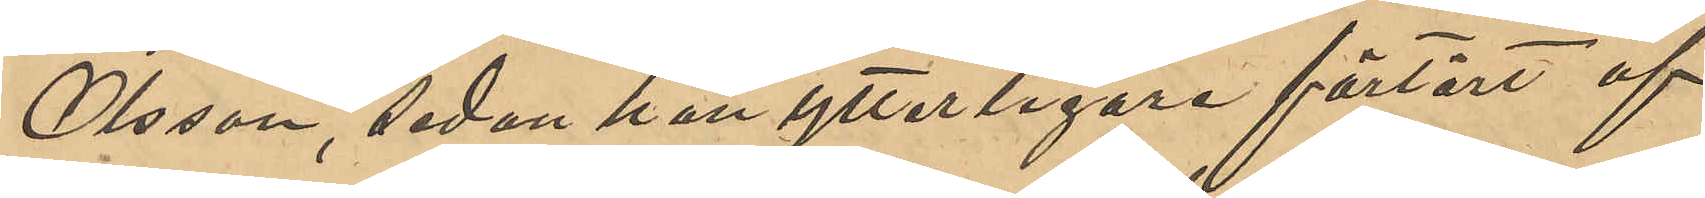Olsson, sedan han ytterligare förtärt af
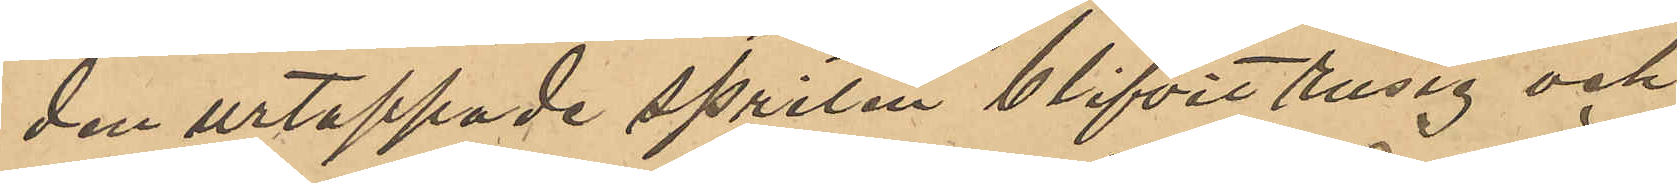den urtappade spriten blifvit rusig och
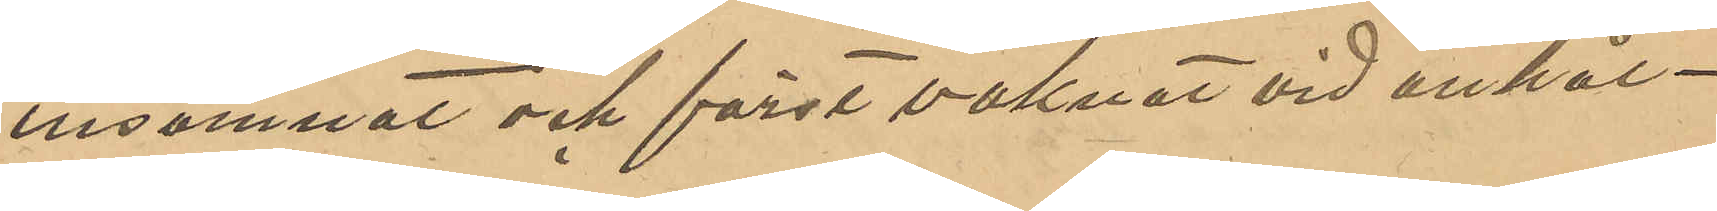insomnat och först vaknat vid anhål¬
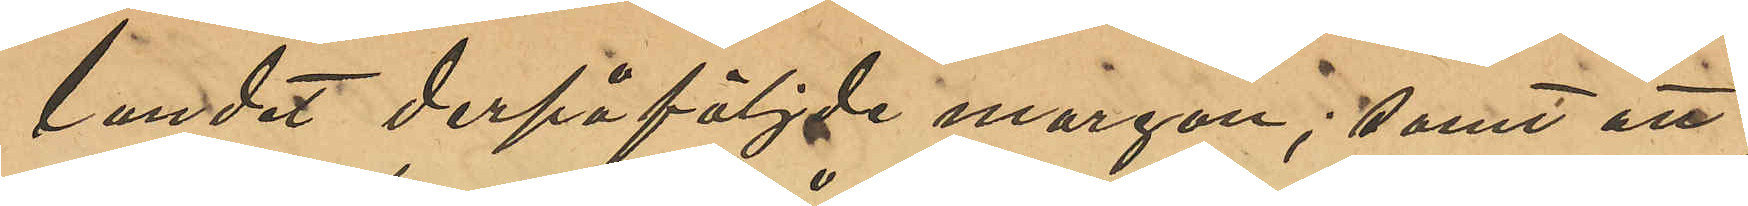landet derpåföljde morgon; samt att
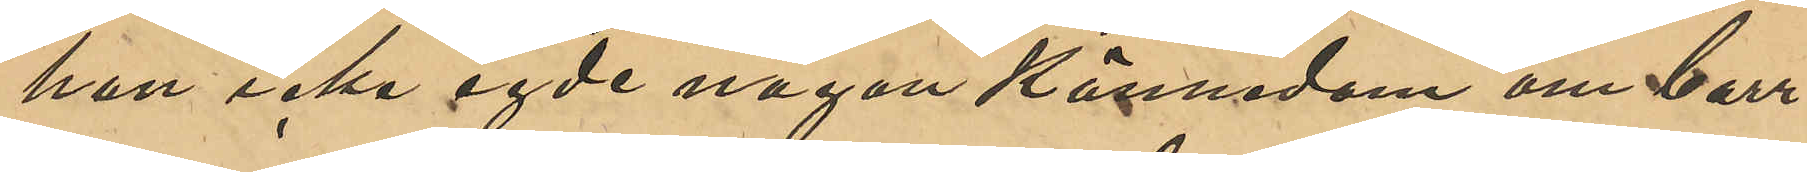han icke egde någon kännedom om borr¬
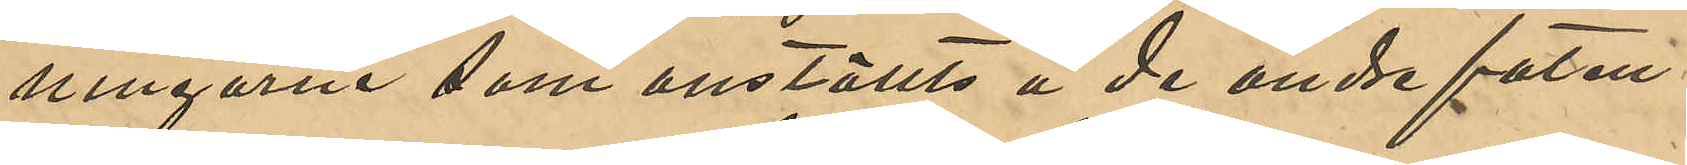ningarna som anställts å de andre faten.
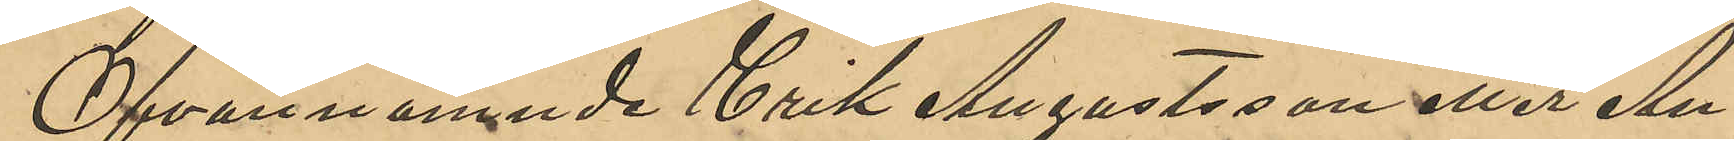Ofvannämnde Erik Augustsson eller An¬
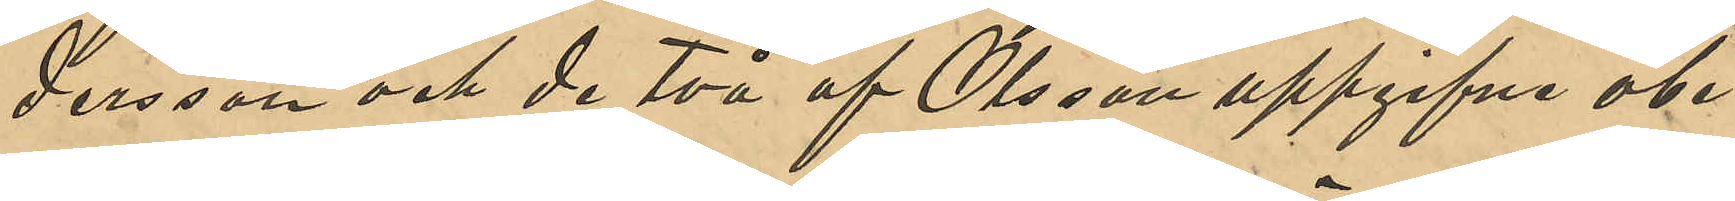dersson och de två af Olsson uppgifvne obe¬
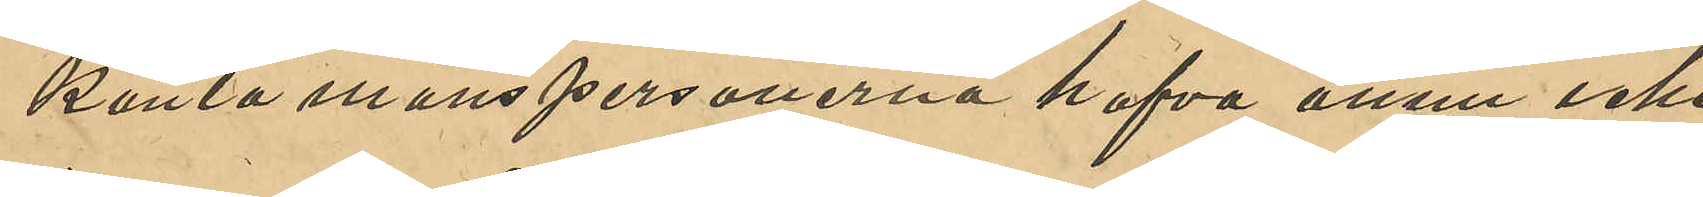kanta manspersonerna hafva ännu icke
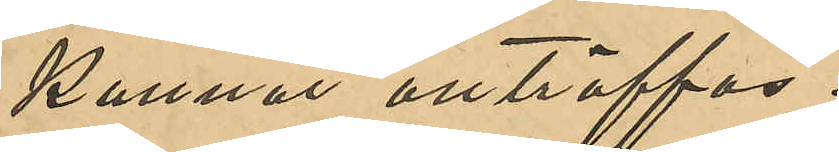kunnat anträffas.
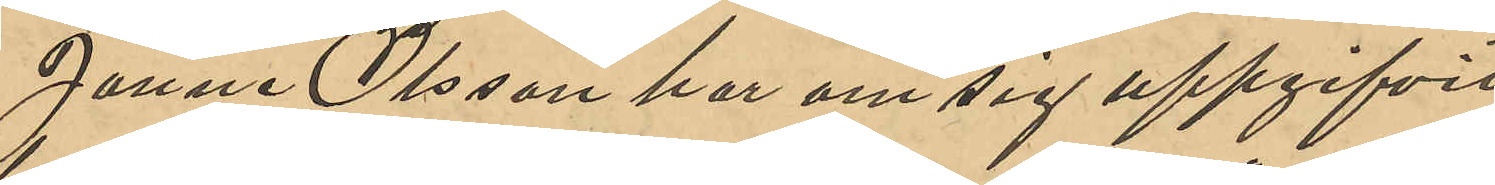Janne Olsson har om sig uppgifvit
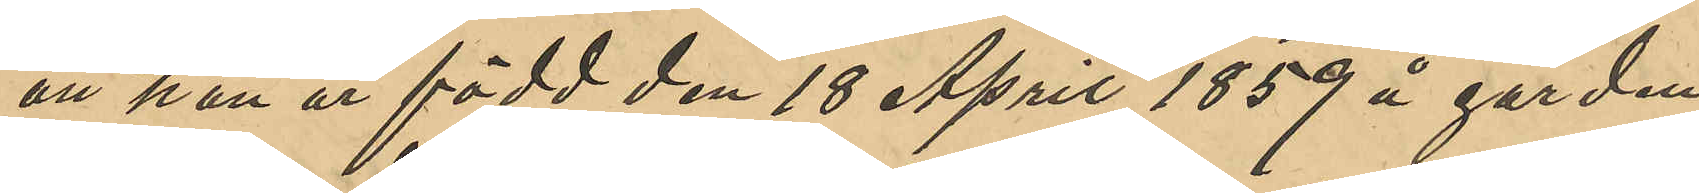att han är född den 18 April 1859 å gården
